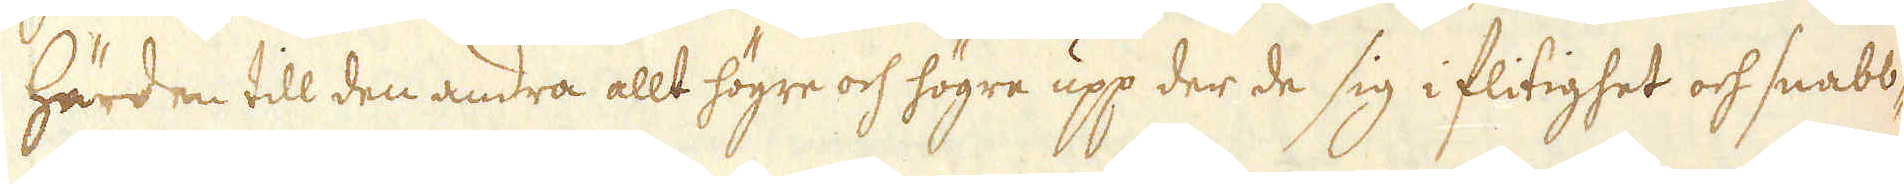härden till den andra allt högre och högre upp der de sig i flitighet och snabb-
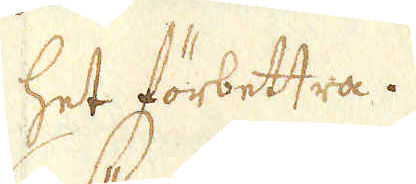het förbettra.
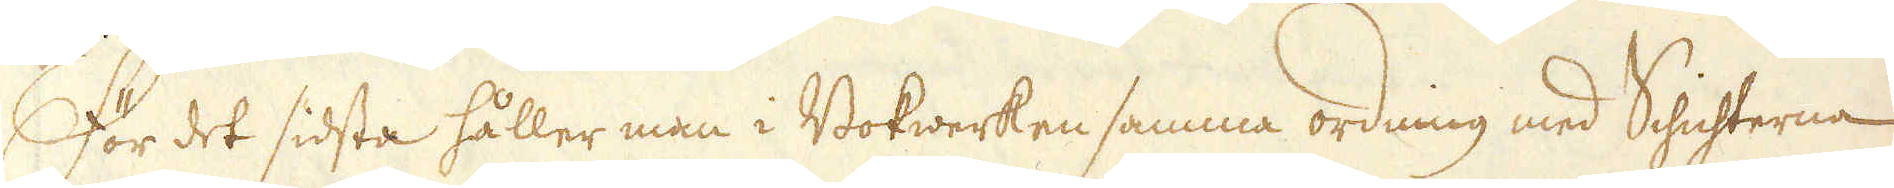För det sidsta håller man i Bokwerken samma ordning med Schichterna
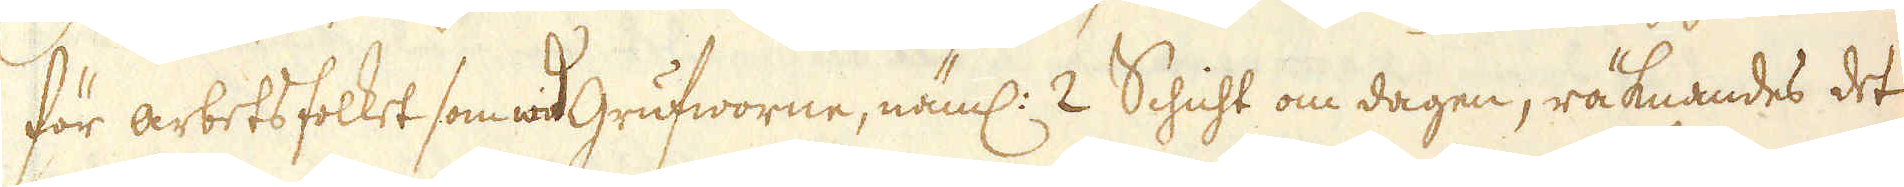för arbetsfolket som wid Grufworne, näml: 2 Schicht om dagen, räknandes det
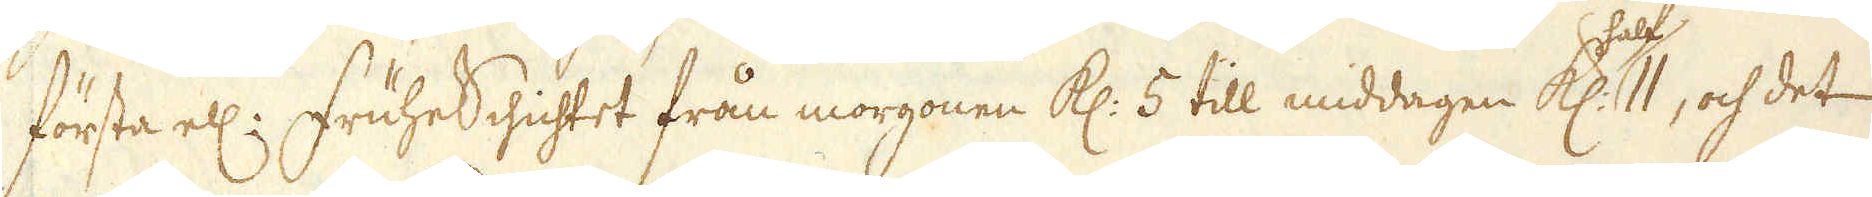första ell: FruheSchichtet från morgonen Kl: 5 till middagen Kl: half 11, och det
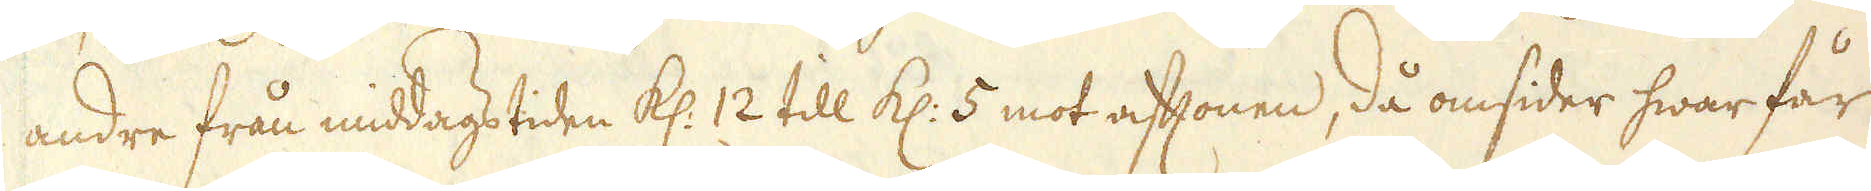andre från middags tiden Kl: 12 till Kl: 5 mot aftonen, då omsider hwar får
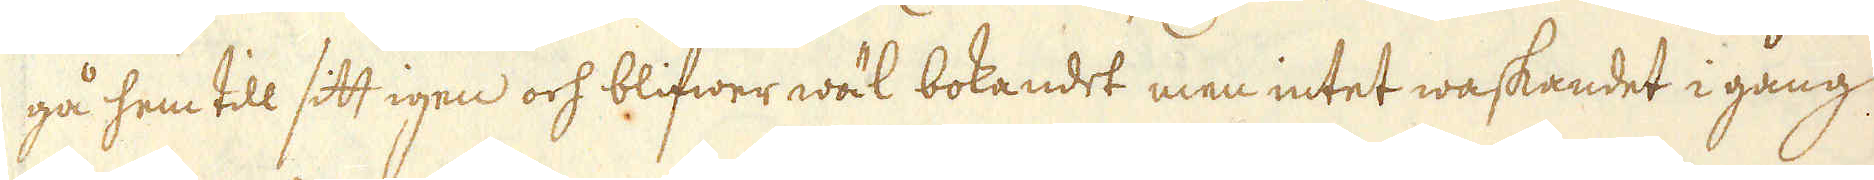gå hem till sitt igen och blifwer wäl bokandet men intet waskandet i gång
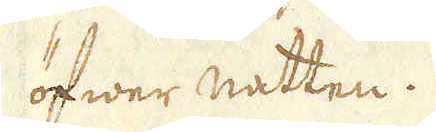öfwer natten.
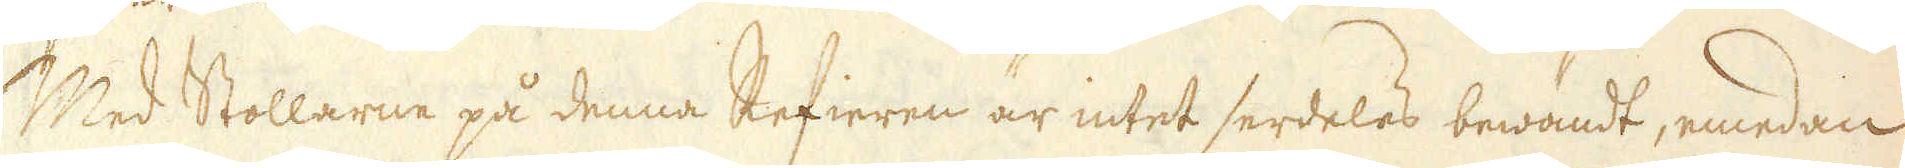Med Stollarne på denna Refieren är intet serdeles bewändt, emedan
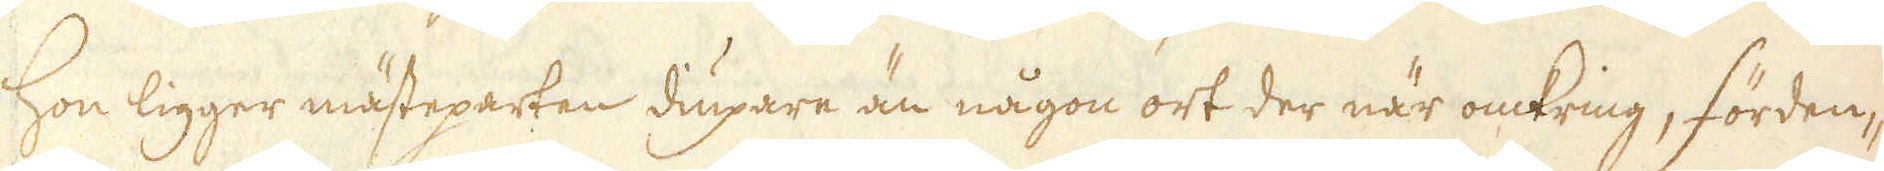Hon ligger mästeparten diupare än någon ort der när omkring, förden-
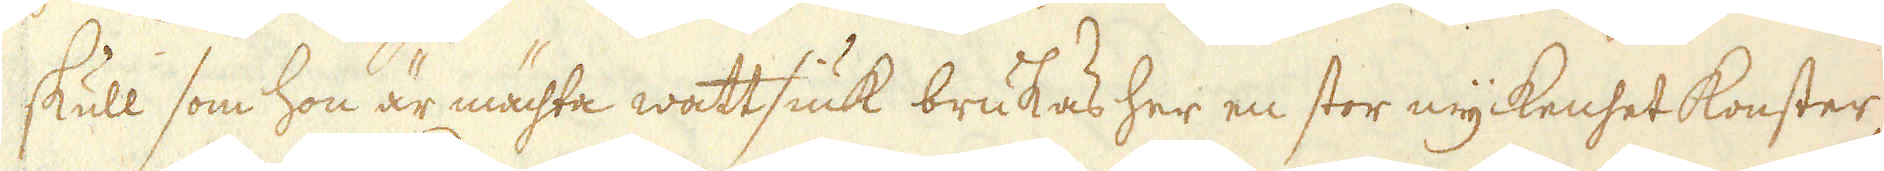skull som hon är mächta wattsiuk brukas her en stor myckenhet konster,
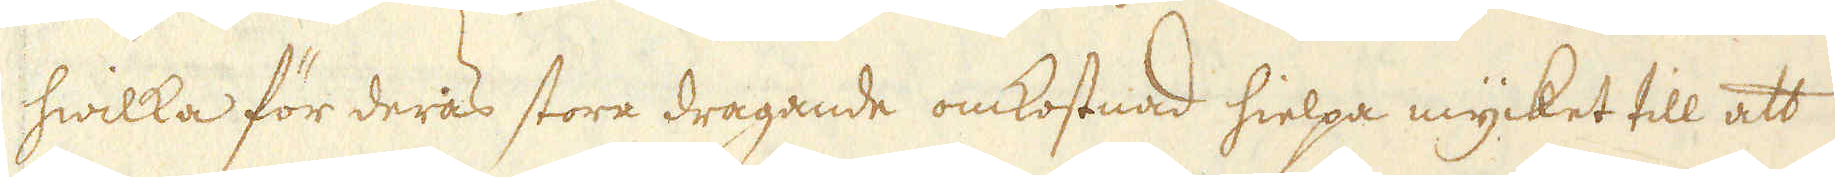hwilka för deras stora dragande omkostnad hielpa mycket till att
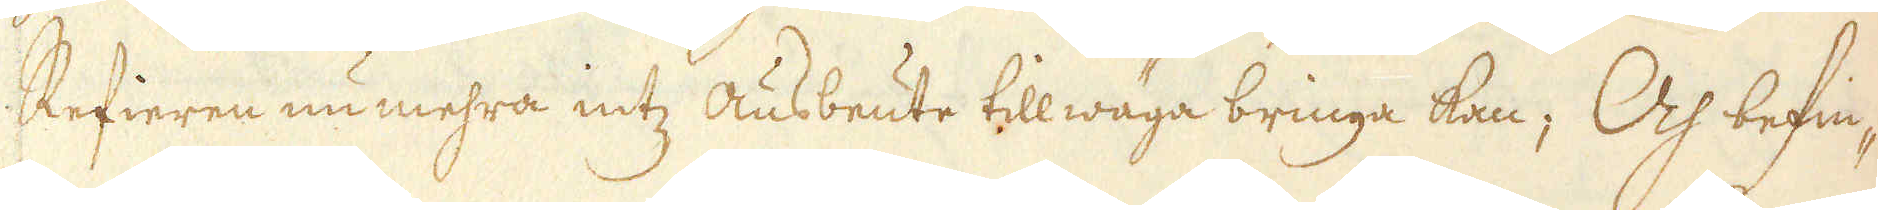Refieren nu mehra intz Ausbeute tillwäga bringa kan; Och befin-
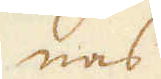nas
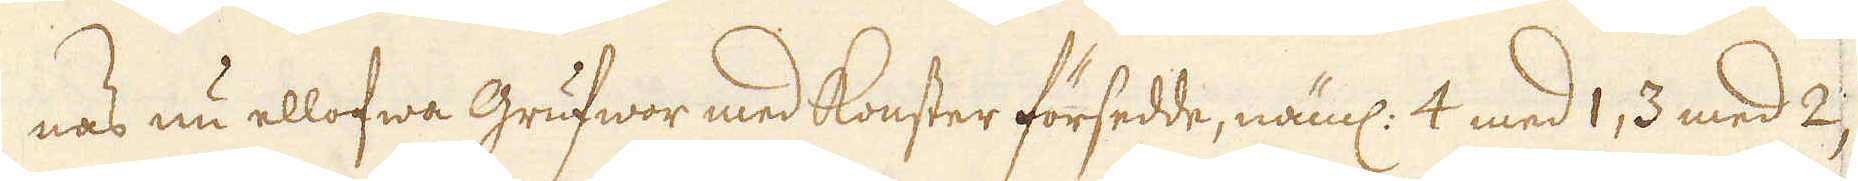nas nu ellofwa Grufwor med konster försedde, näml: 4 med 1, 3 med 2,
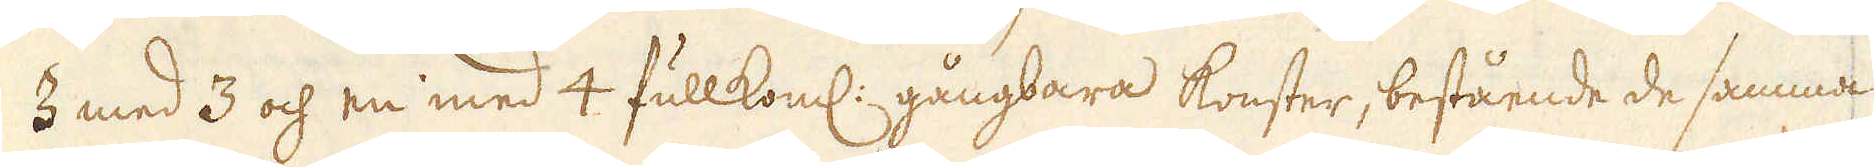3 med 3 och en med 4 fullkoml: gångbara konster, bestående de samma
